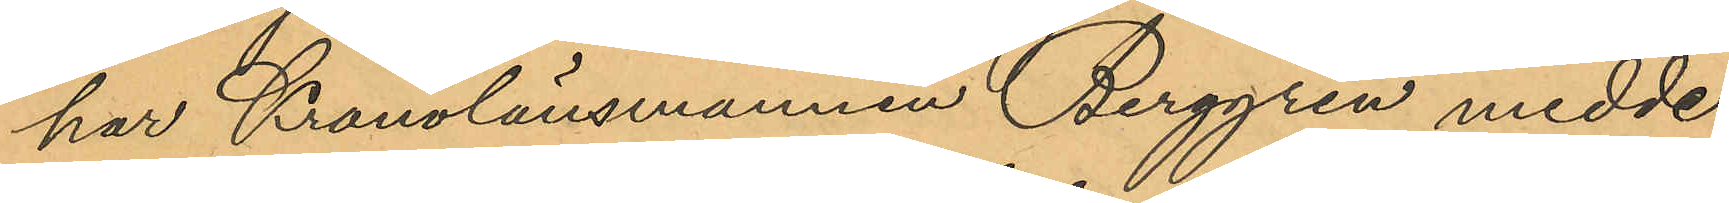har Kronolänsmannen Berggren medde¬
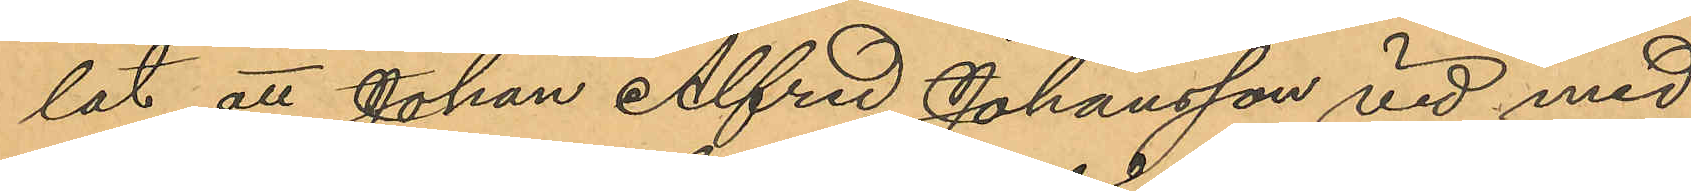lat att Johan Alfred Johansson vid med
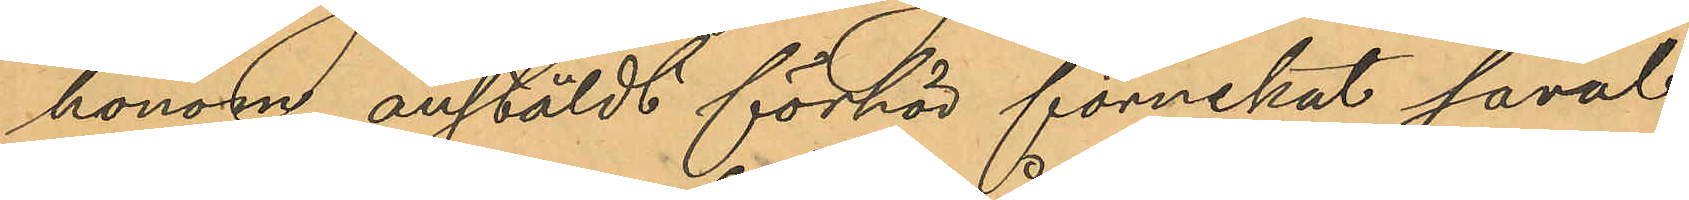honom anstäldt förhör förnekat såväl
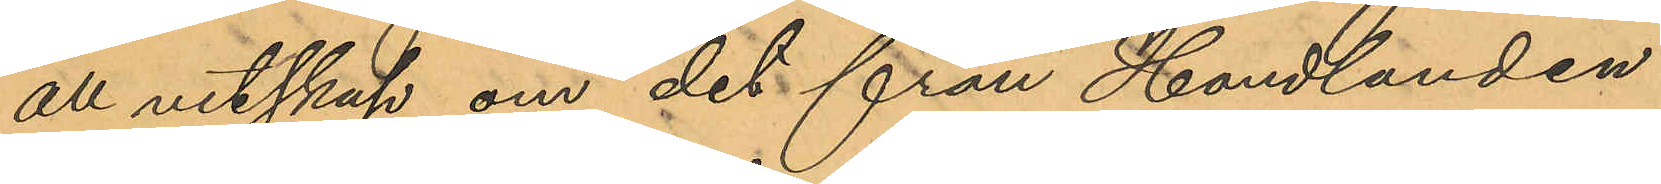all vetskap om det från Handlanden
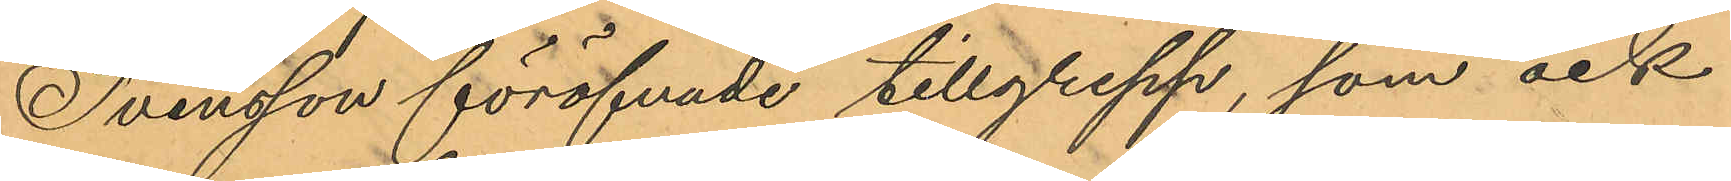Svensson föröfvade tillgrepp, som ock
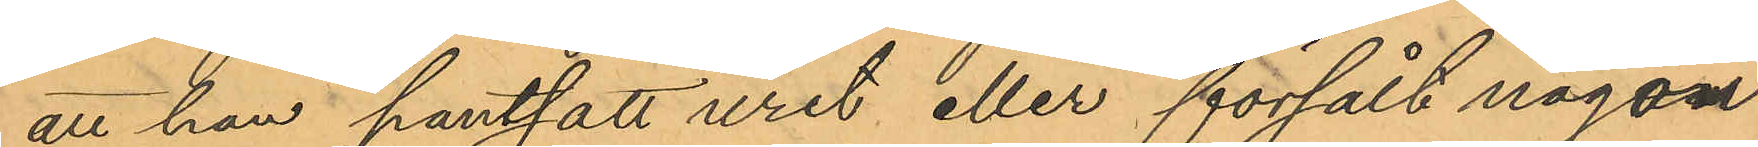att han pantsatt uret eller försålt någon
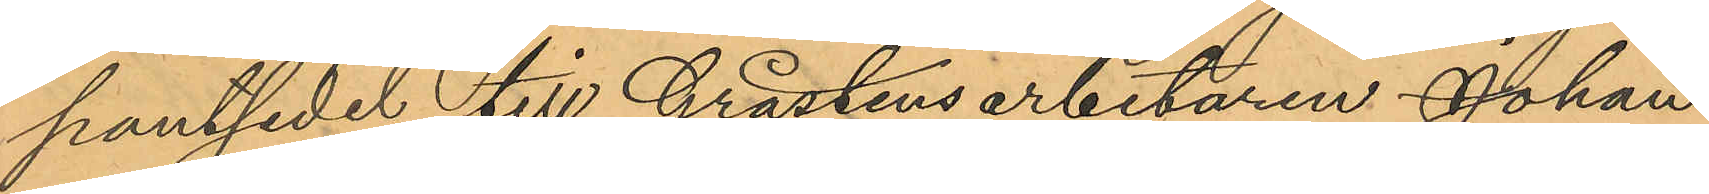pantsedel till Gråstensarbetaren Johan
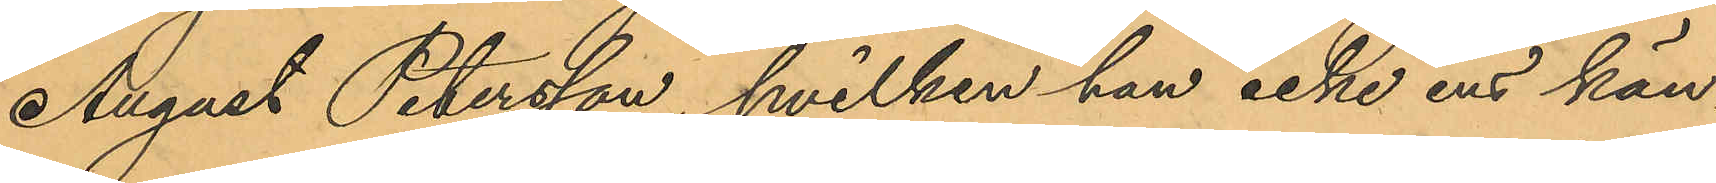August Petersson, hvilken han icke ens kän¬
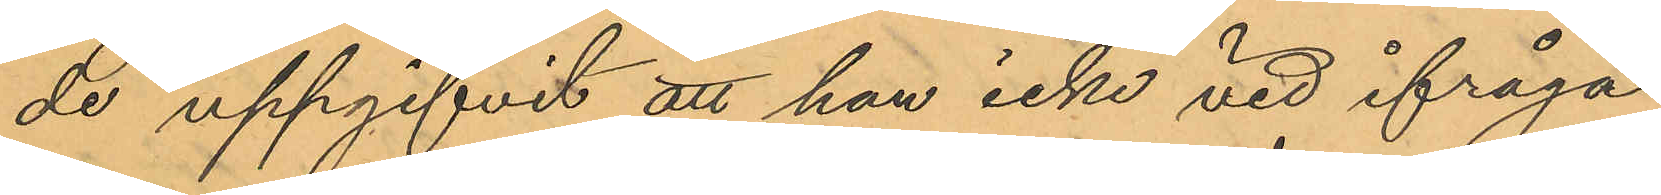de uppgifvit att han icke vid ifråga¬
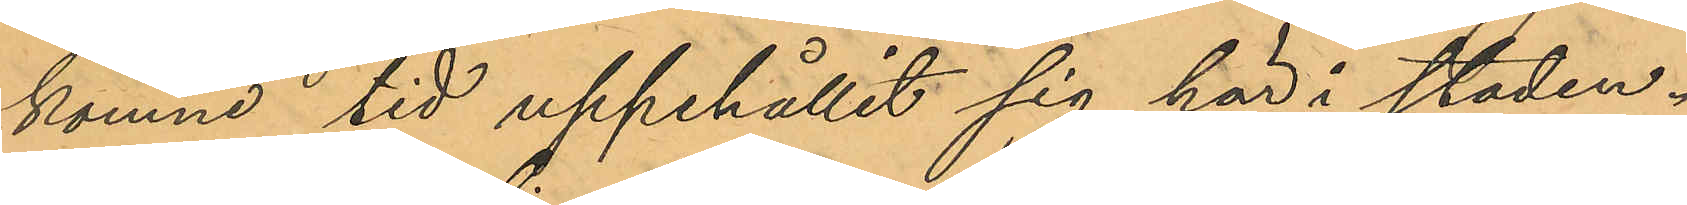komne tid uppehållit sig här i staden.
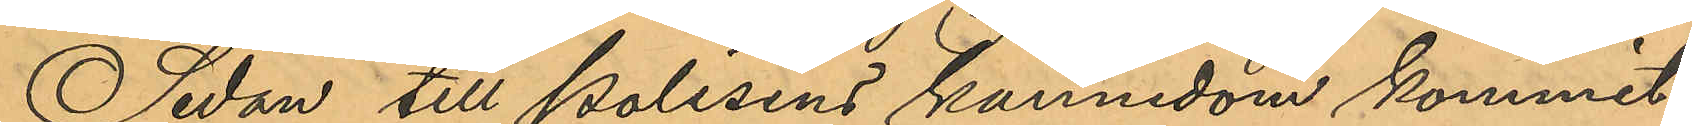Sedan till Polisens kännedom kommit
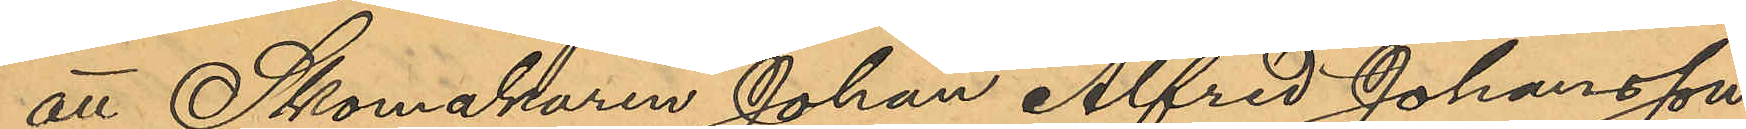att Skomakaren Johan Alfred Johansson
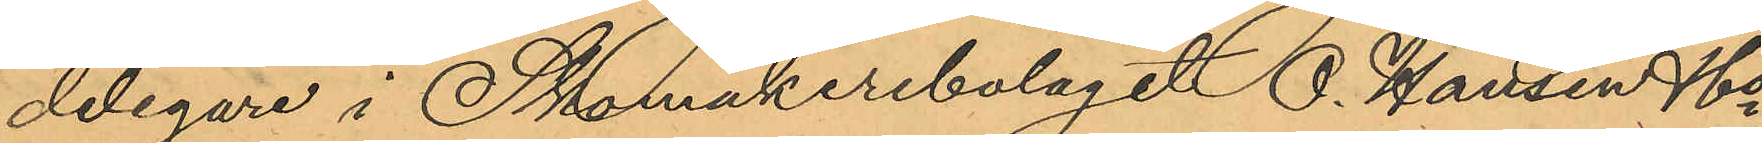delegare i Skomakeribolaget O. Hansen &Co,
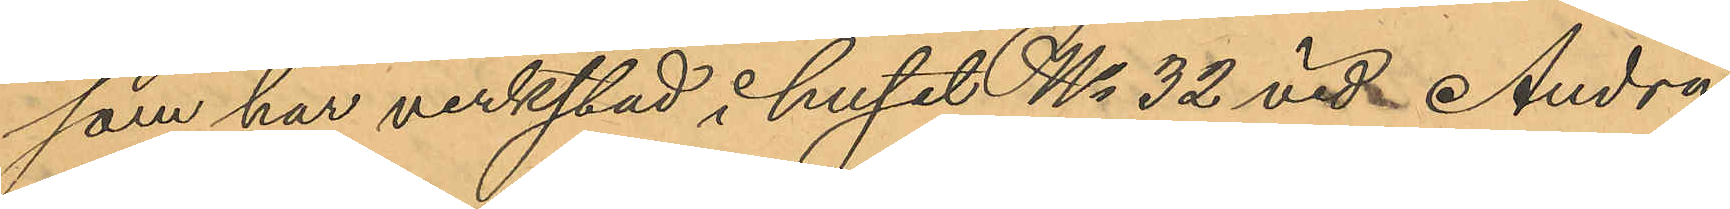som har verkstad i huset No 32 vid Andra
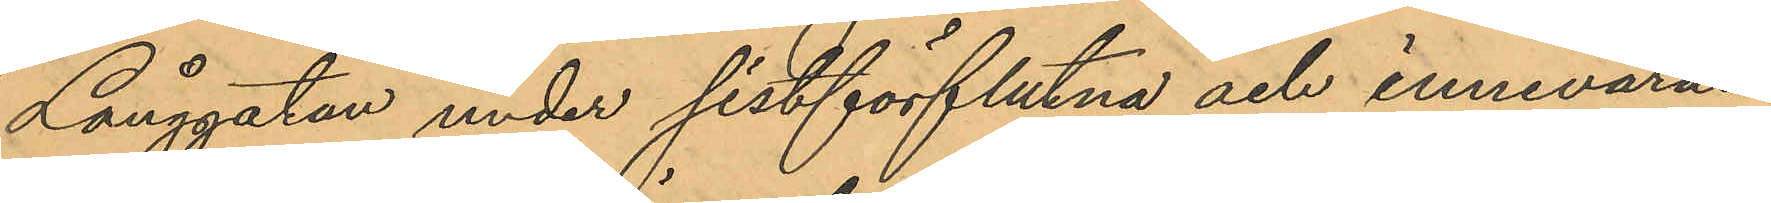Långgatan under sistförflutna och innevaran¬
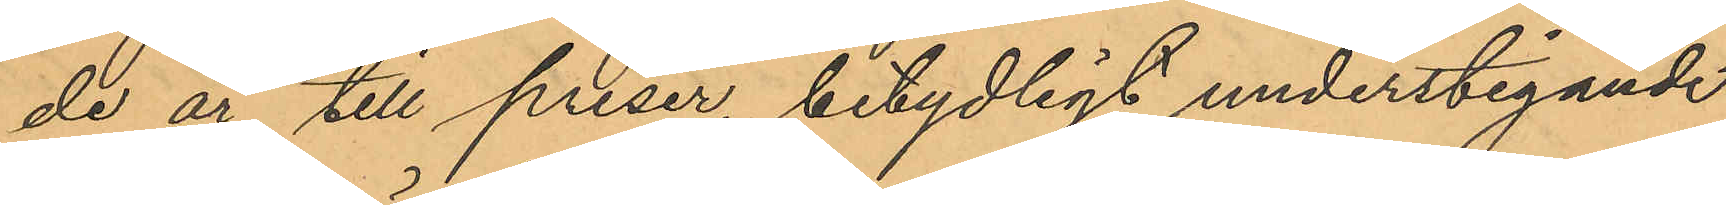de år till priser, betydligt understigande
